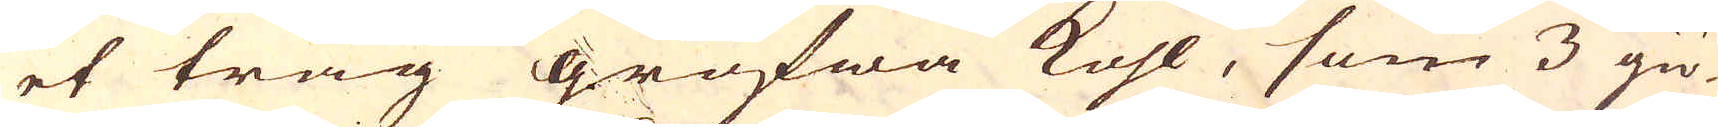et tråg grofwa kohl, som 3 giö-
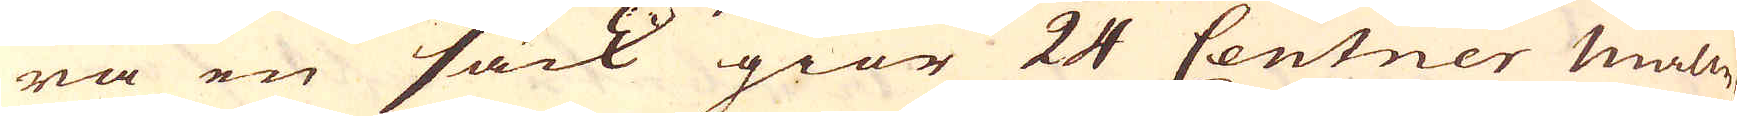ra en säck giör 24 Centner Malm,
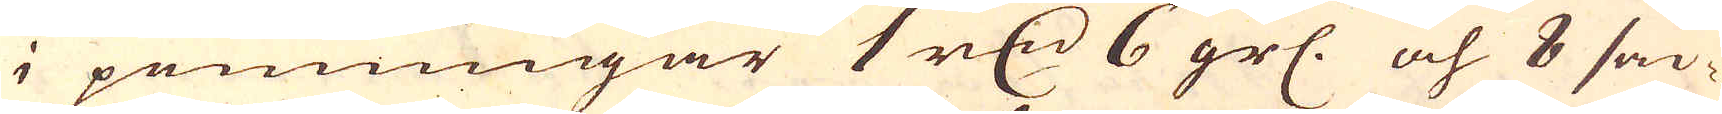i penningar 1 r:dr 6 grs: och 8 säc-
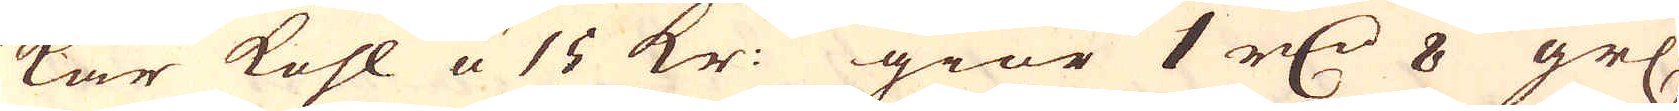kar kohl a 15 kr: giör 1 r:dr 8 grs.
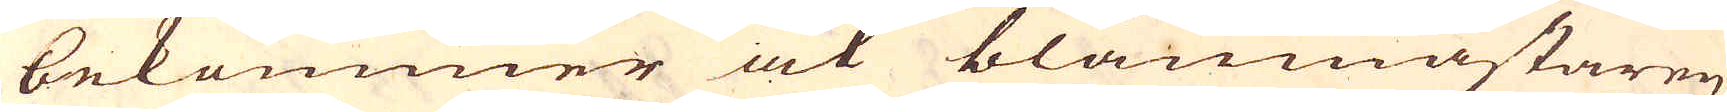bekommer ok bläumästaren
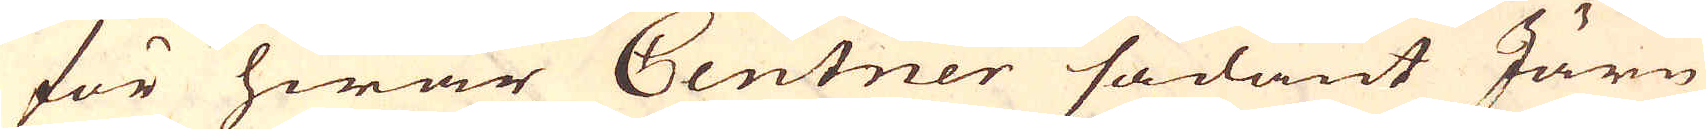för hwar Centner sådant Järn
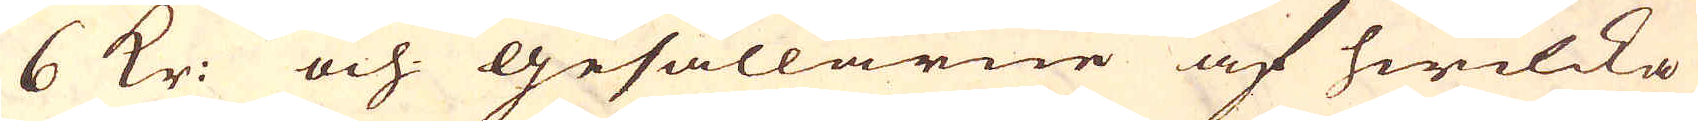6 Kr: och gesällarne af hwilcka
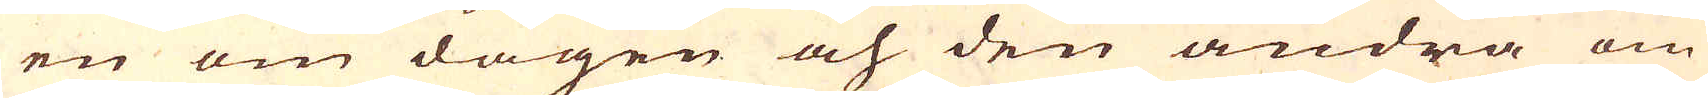en om dagen och den andra om
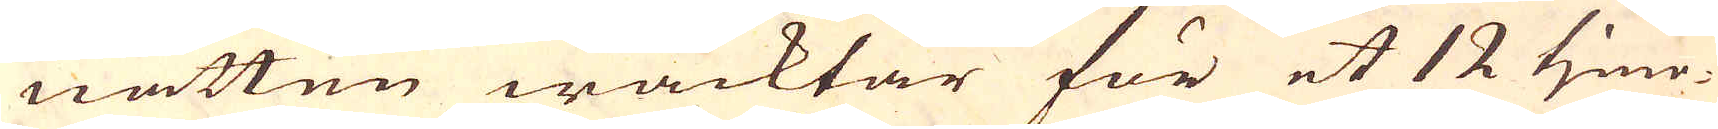natten wacktar för et 12 time-
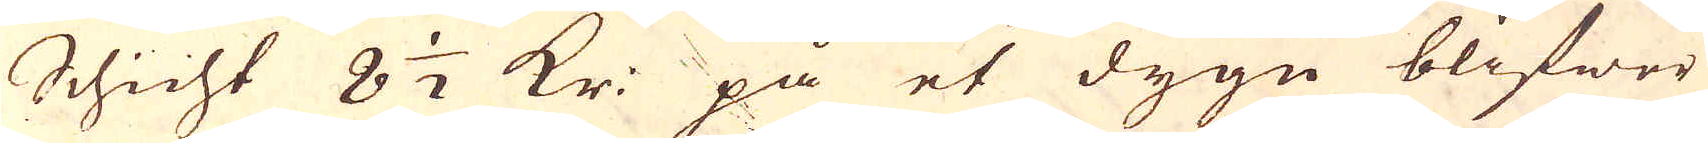Schicht 8 1/2 Kr: på et dygn blifwer
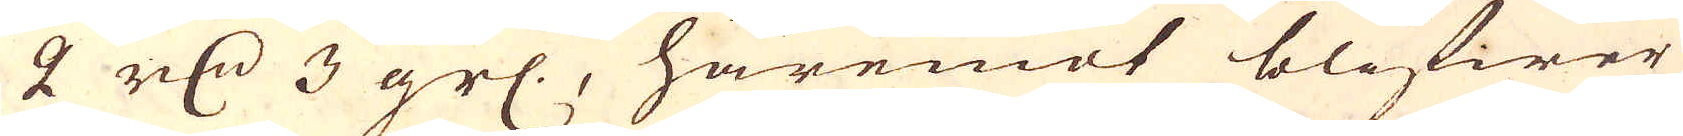2 r:dr 3 grs., häremot blifwer
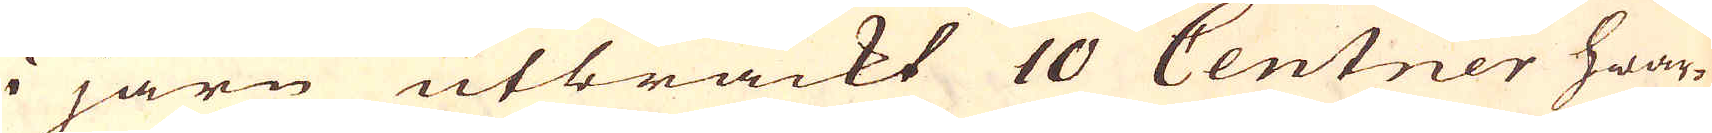i järn utbrackt 10 Centner hwar-
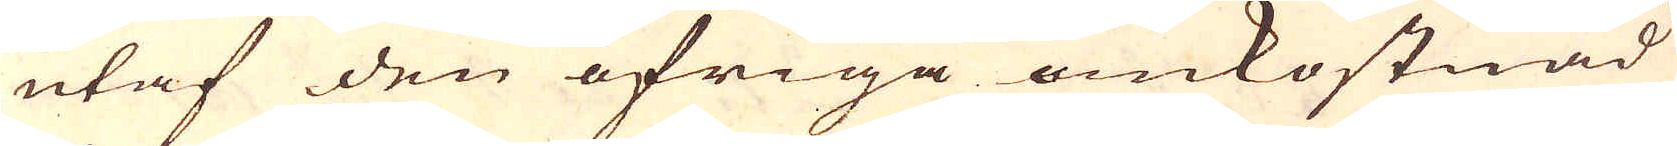utaf den öfriga omkostnad
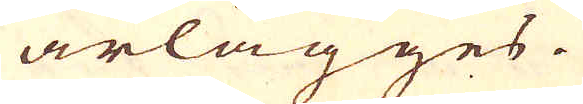ärlägges.
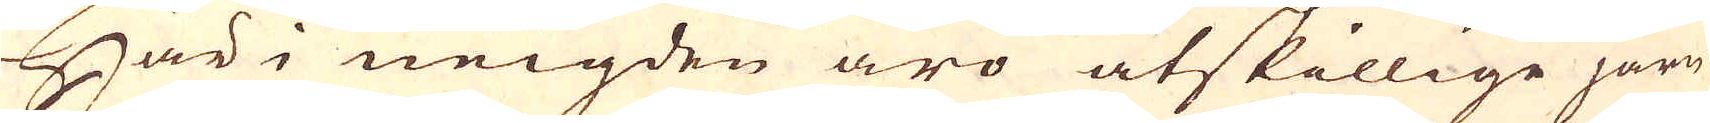Här i neigden äro åtskillige järn-
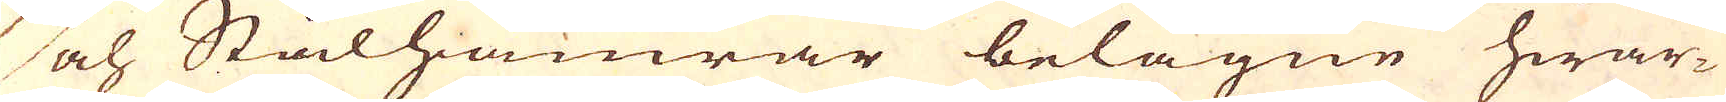och Stålhamrar belägne hwar-
